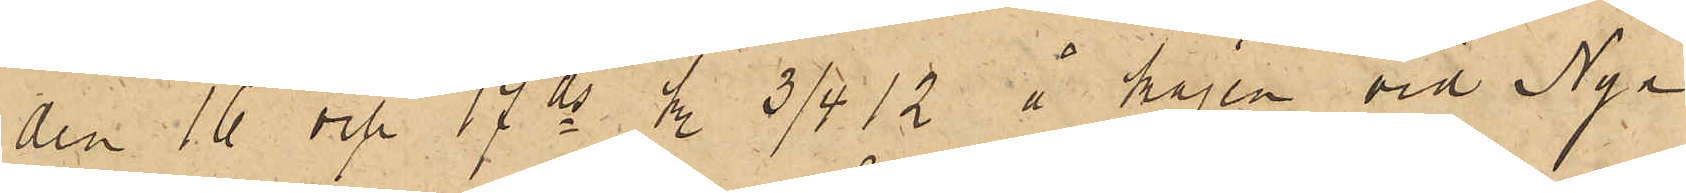den 16 och 17 ds kl. 3/4 12 å kajen vid Nya
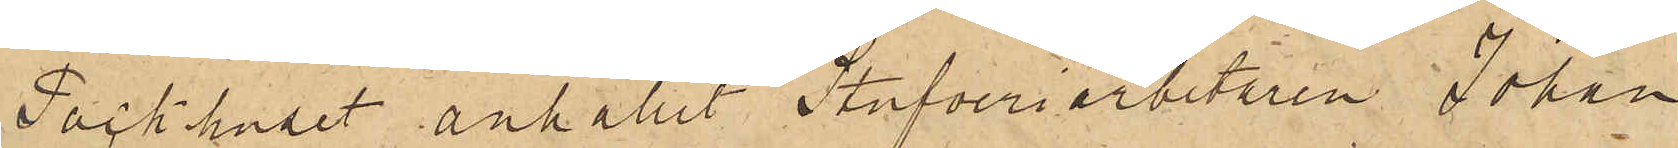Packhuset anhållit Stufveriarbetaren Johan
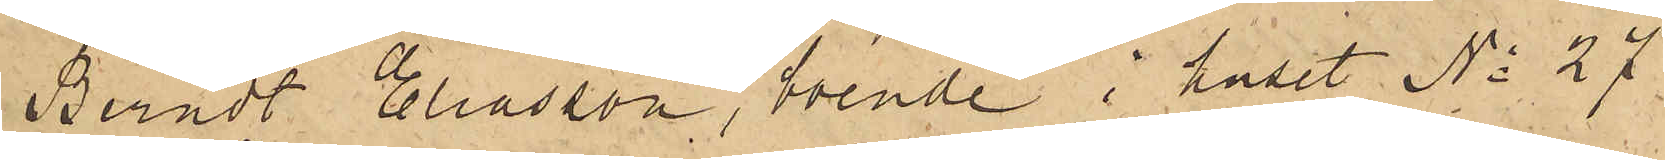Berndt Eliasson, boende i huset No 27
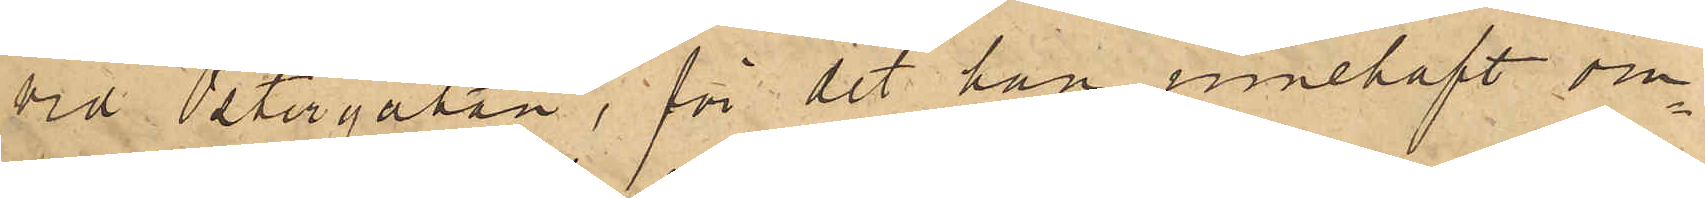vid Östergatan, för det han innehaft om¬
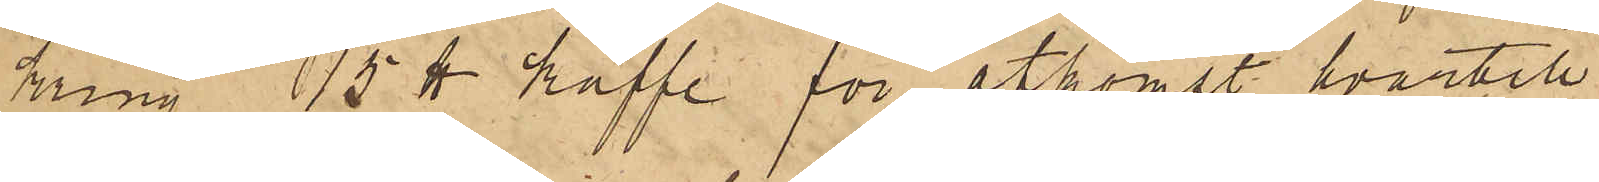kring 15 ℔ kaffe för åtkomst hvartill
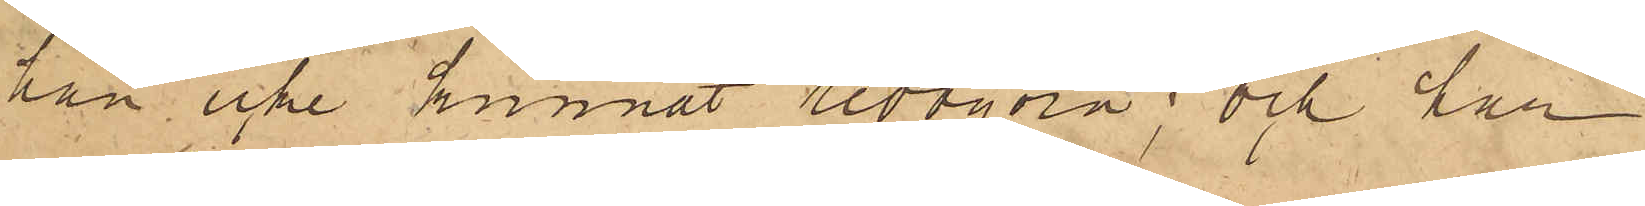han icke kunnat redogöra; och har
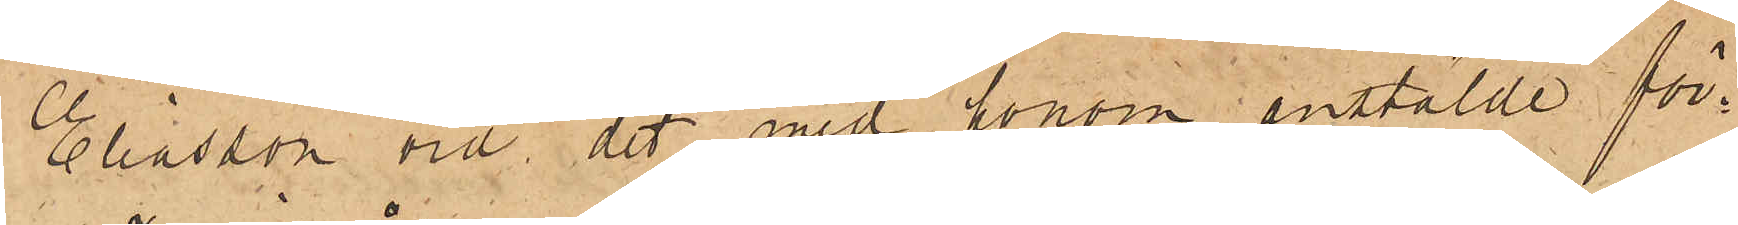Eliasson vid det med honom anstälde för¬
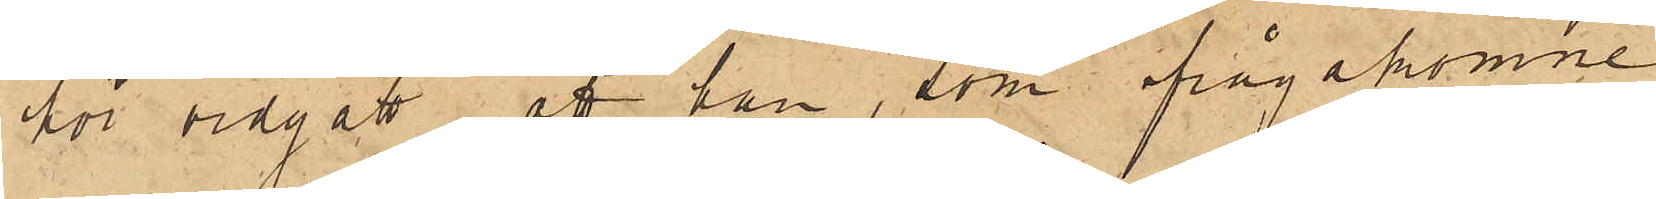för vidgått, att han, som ifrågakomne
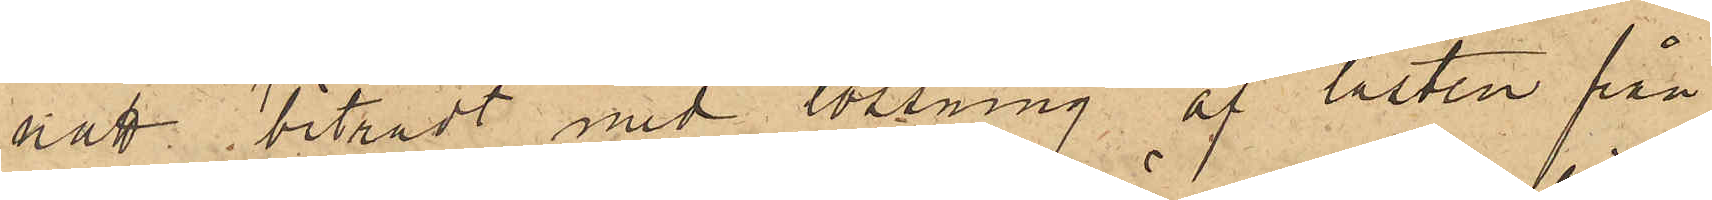natt biträdt med lossning af lasten från
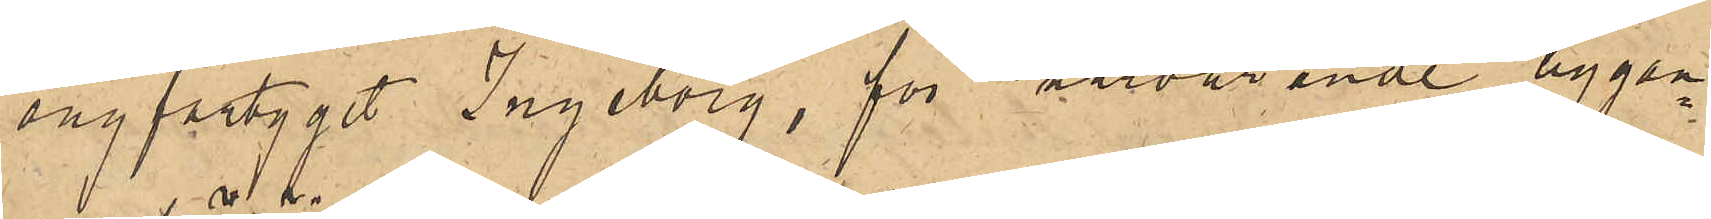ångfartyget Ingeborg, för närvarande liggan¬
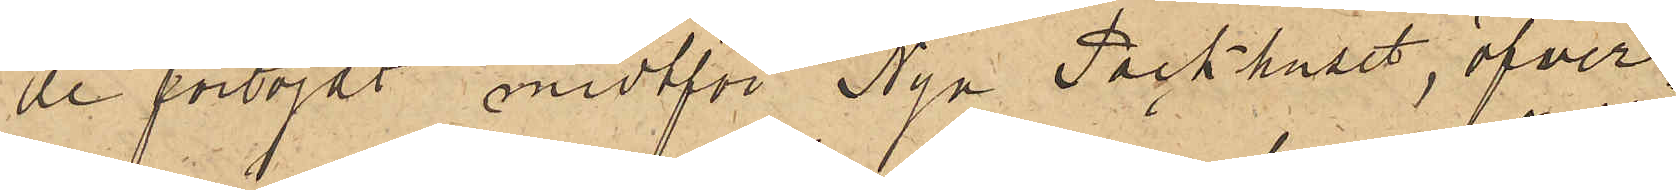de förtöjdt midtför Nya Packhuset, öfver¬
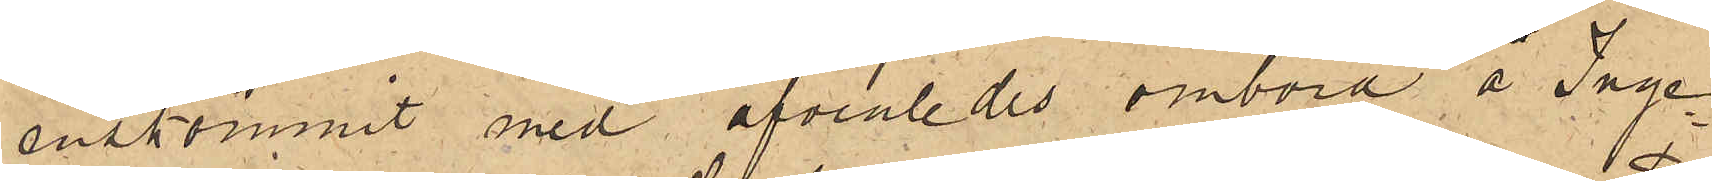enskommit med äfvenledes ombord å Inge¬
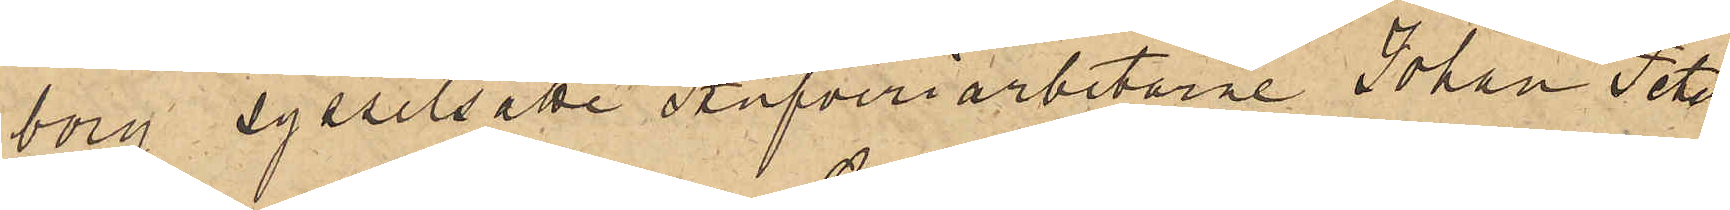borg sysselsatte Stufveriarbetarne Johan Peter
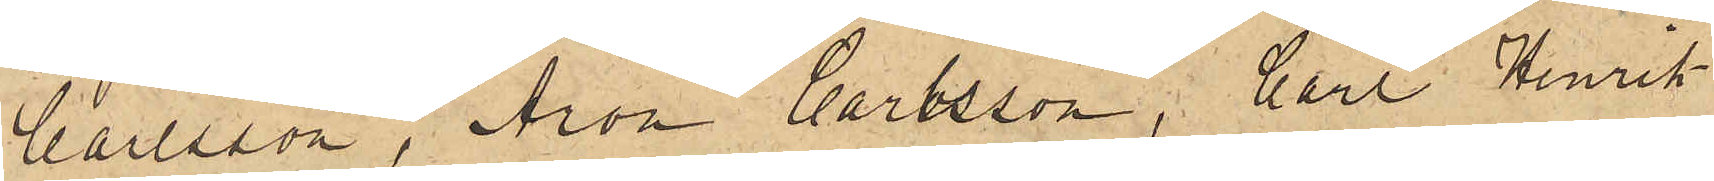Carlsson, Aron Carlsson, Carl Henrik
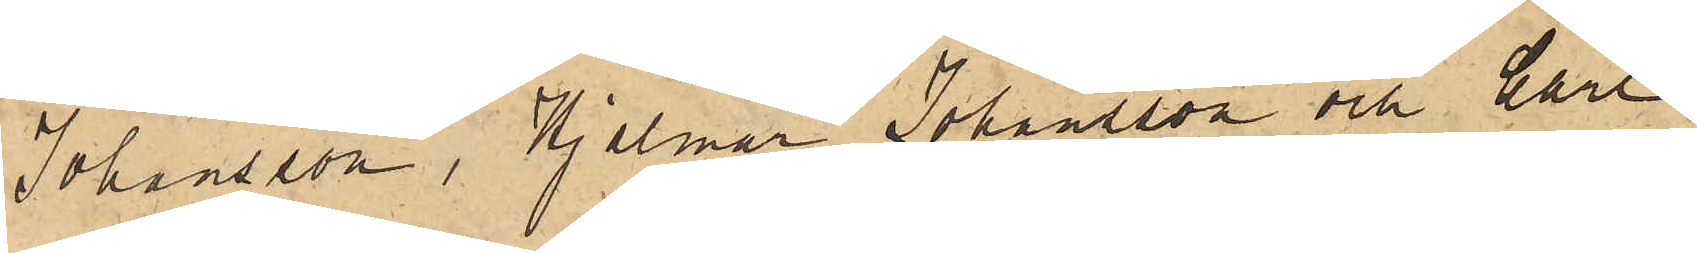Johansson, Hjalmar Johansson och Carl
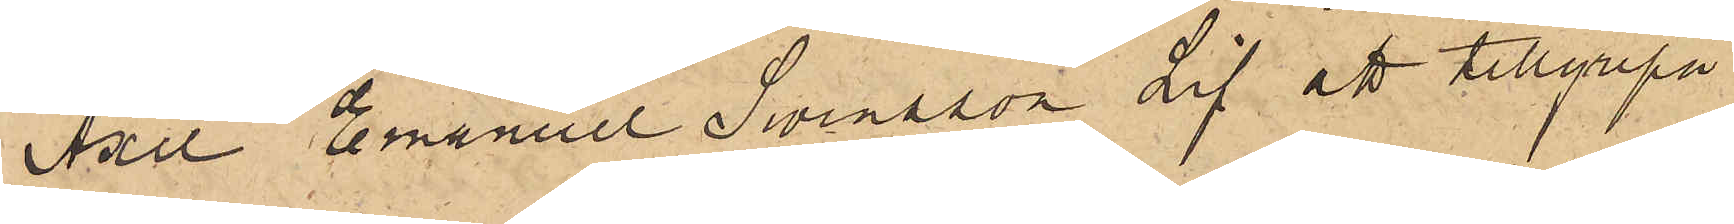Axel Emanuel Svensson Lif att tillgripa
